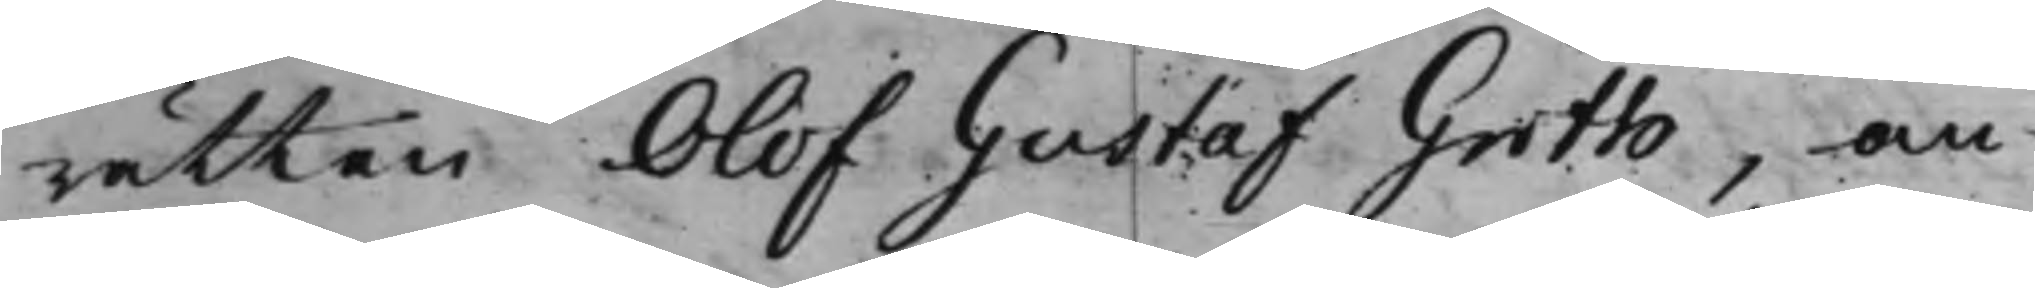rätten Olof Gustaf Groth, an¬
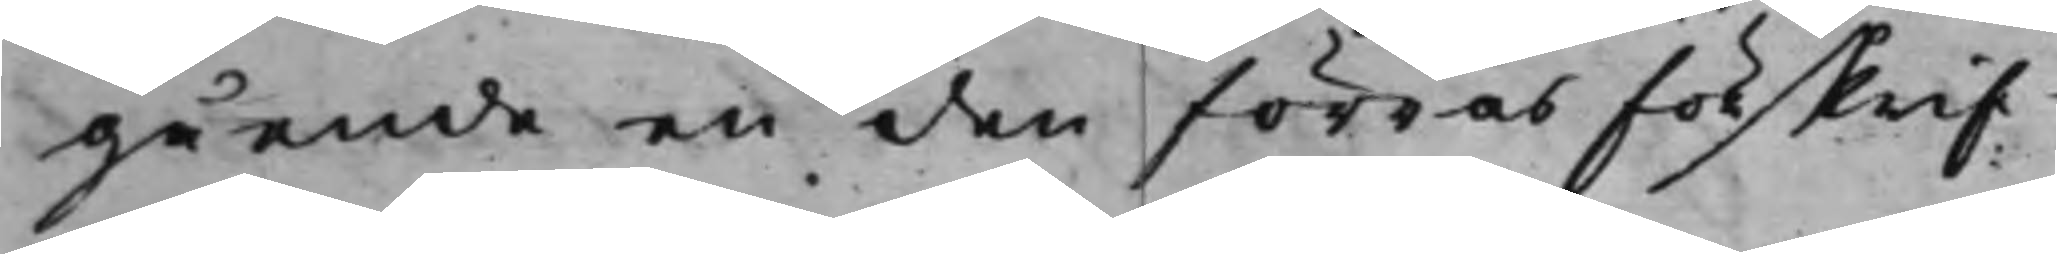gående en den förras förskrif¬
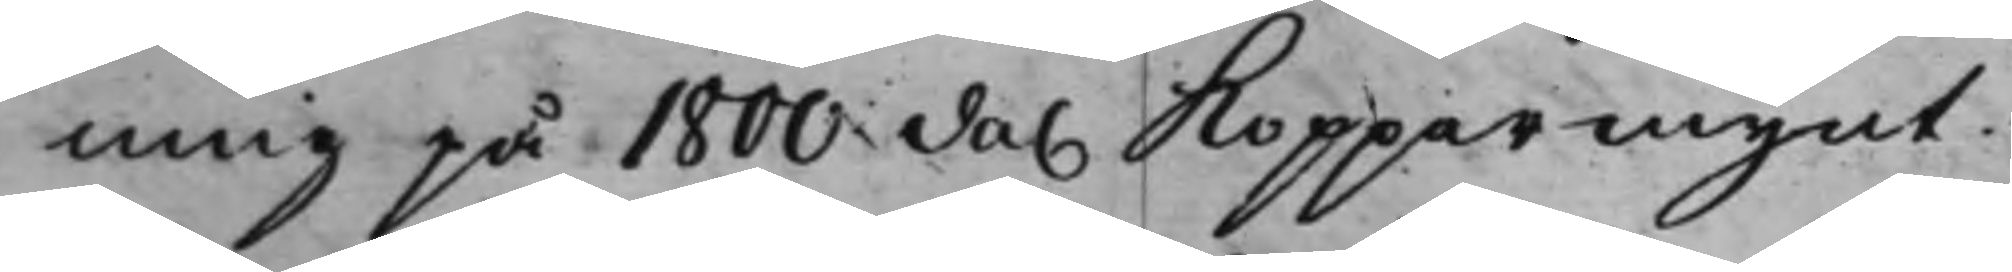ning på 1800 da. Kopparmynt.
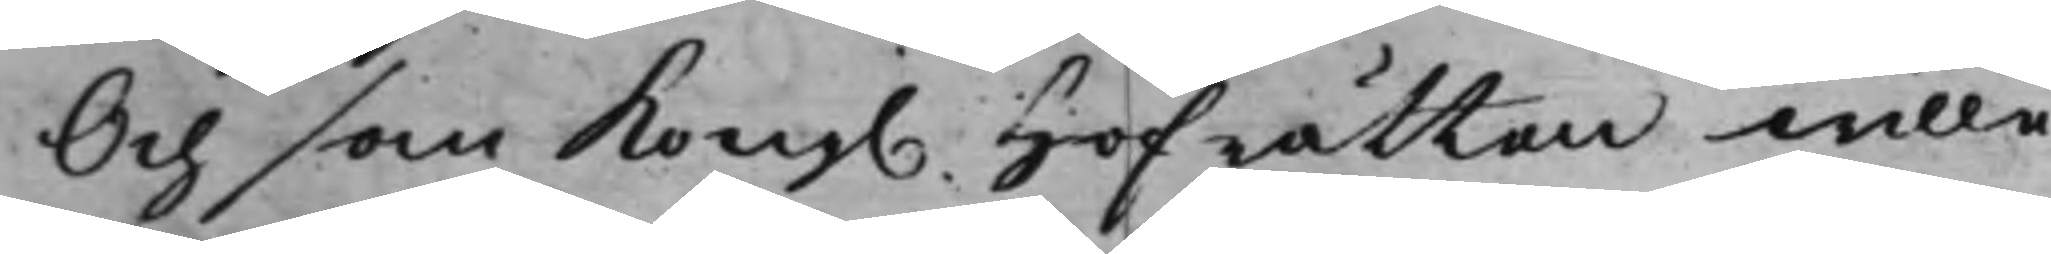Och som Kong. Hofrätten wille
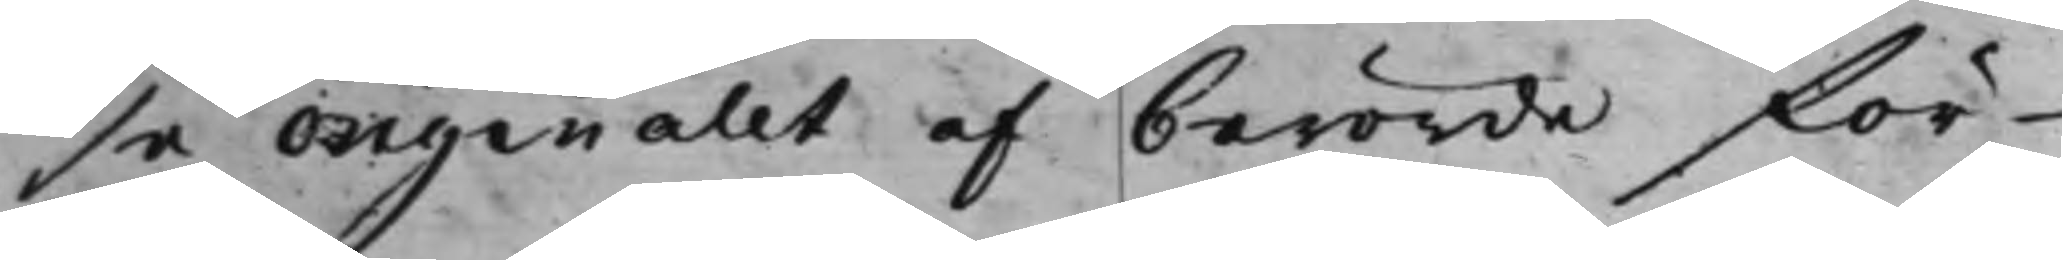se originalet af berörde för¬
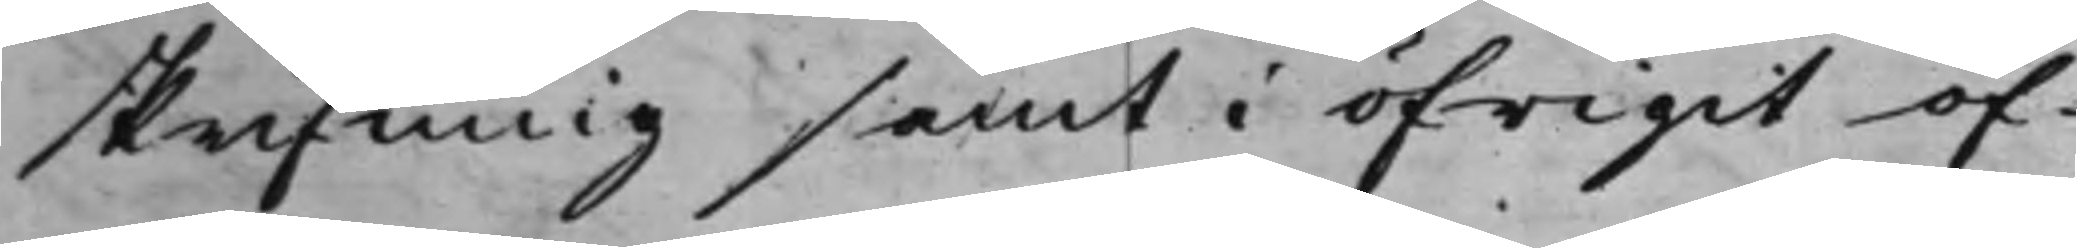skrifning samt i öfrigit öf¬
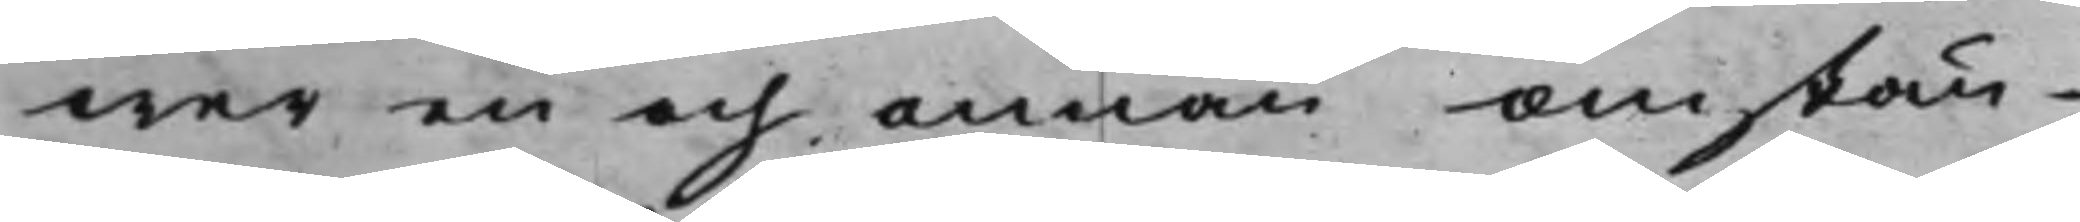wer en och annan omstän¬
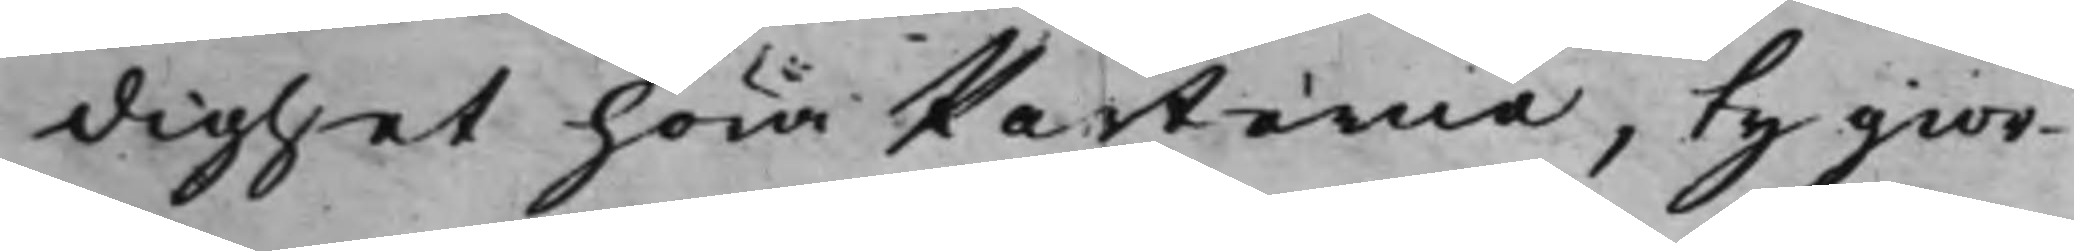dighet höra Parterne, ty gior¬
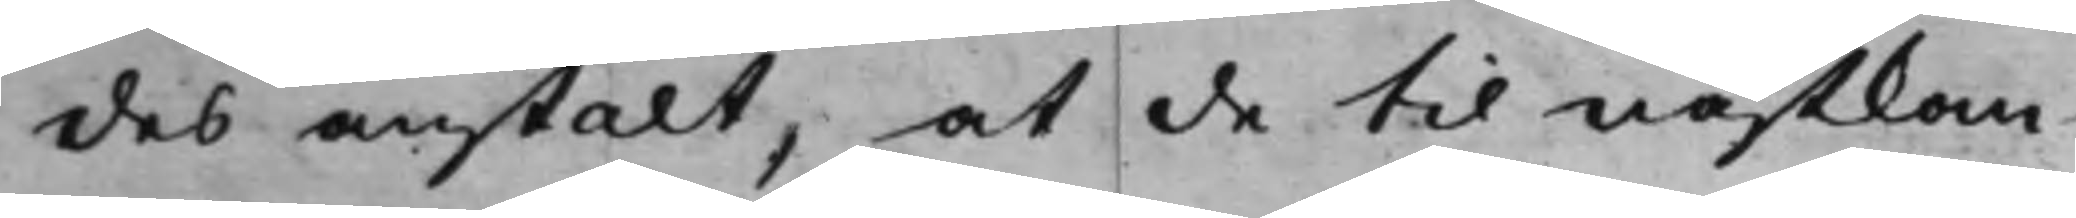des anstalt, at de til nästkom¬
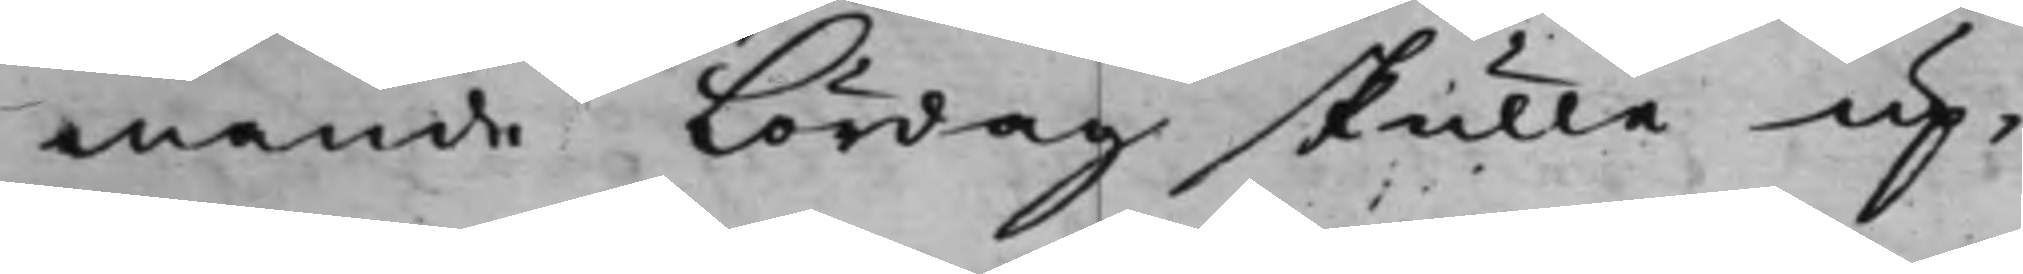mande Lördag skulle up¬
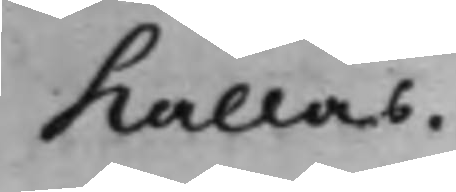kallas.
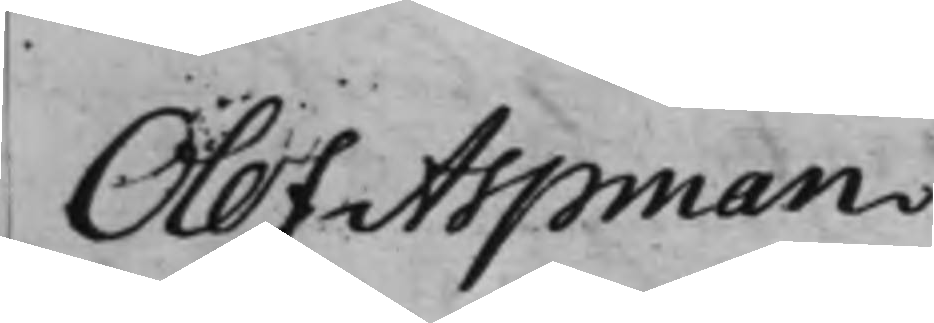Olof Aspman
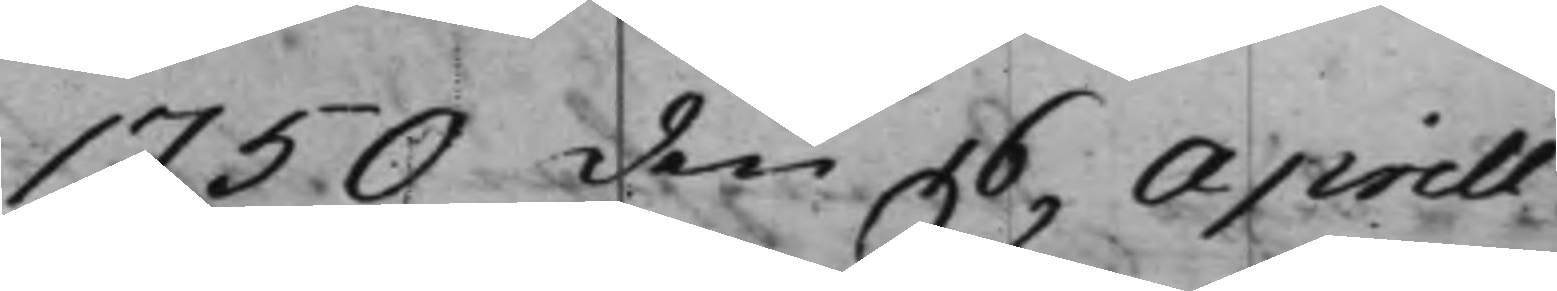1750 den 16 Aprill
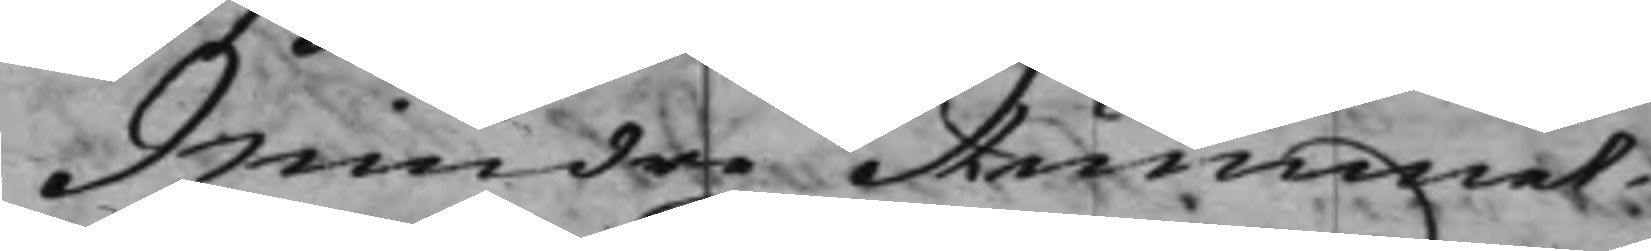Mindre Rummet
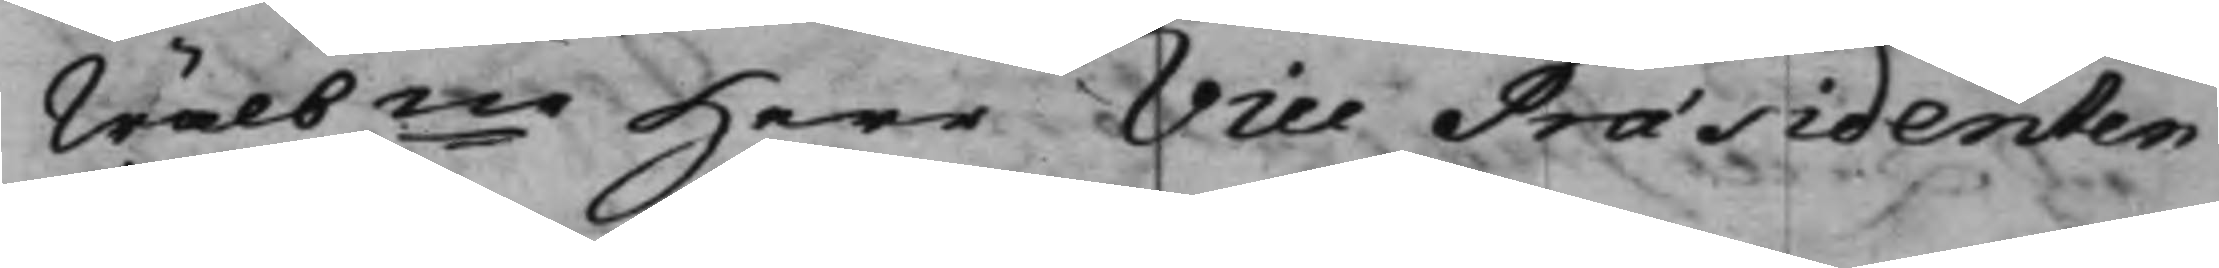Wälbne Herr Vice Præsidenten
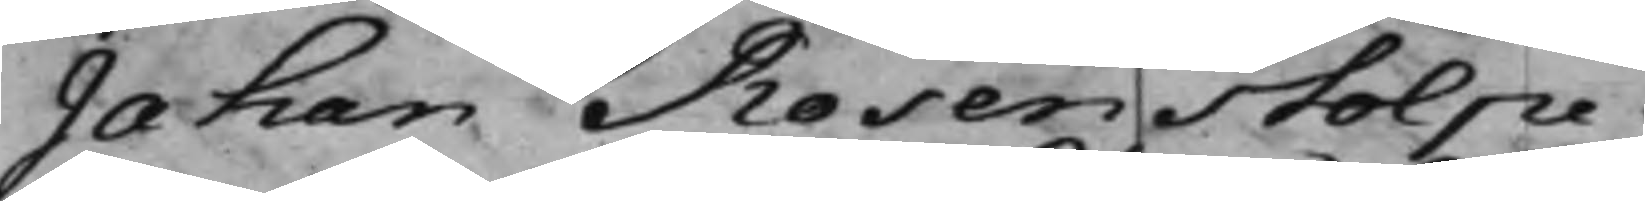Jahan Rosenstolpe.
